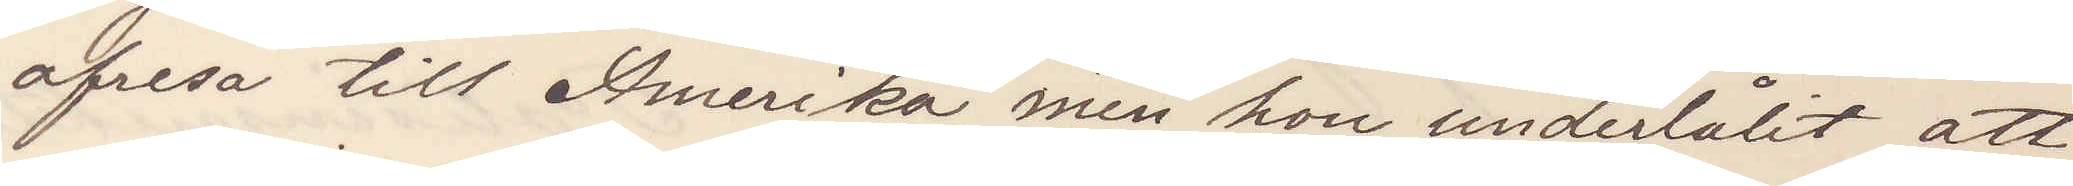afresa till Amerika, men hon underlåtit att
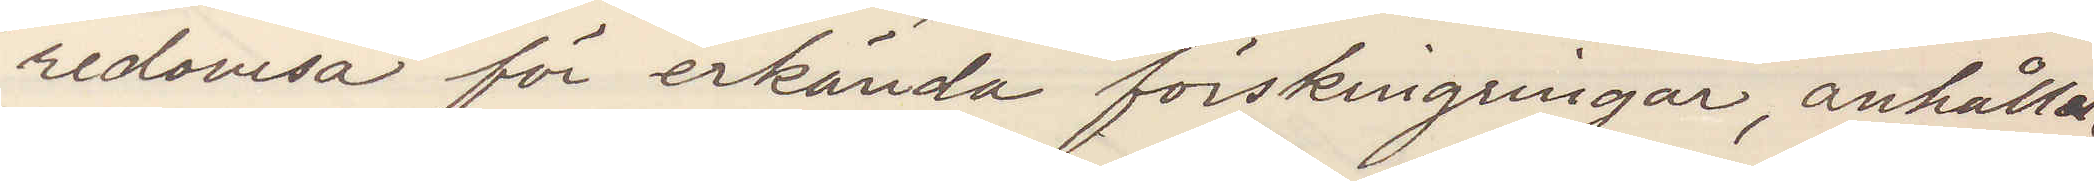redovisa för erkända förskingringar, anhåller
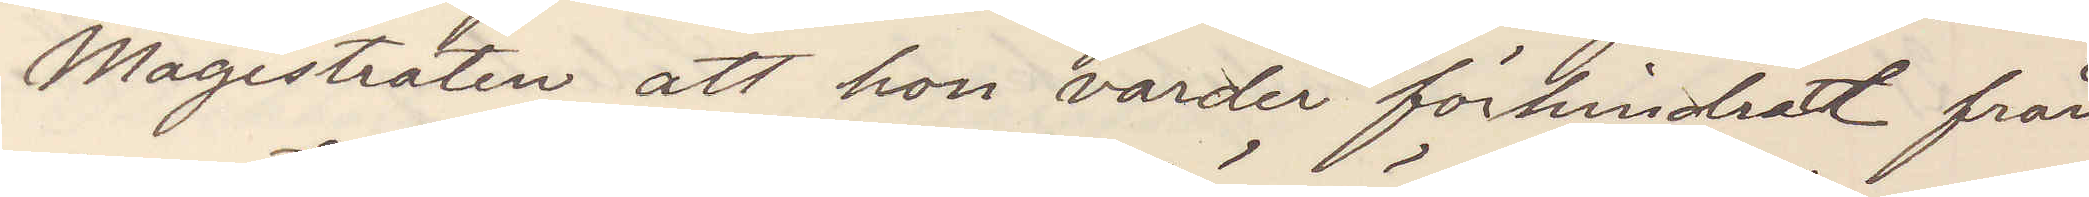Magistraten att hon varder förhindradt från
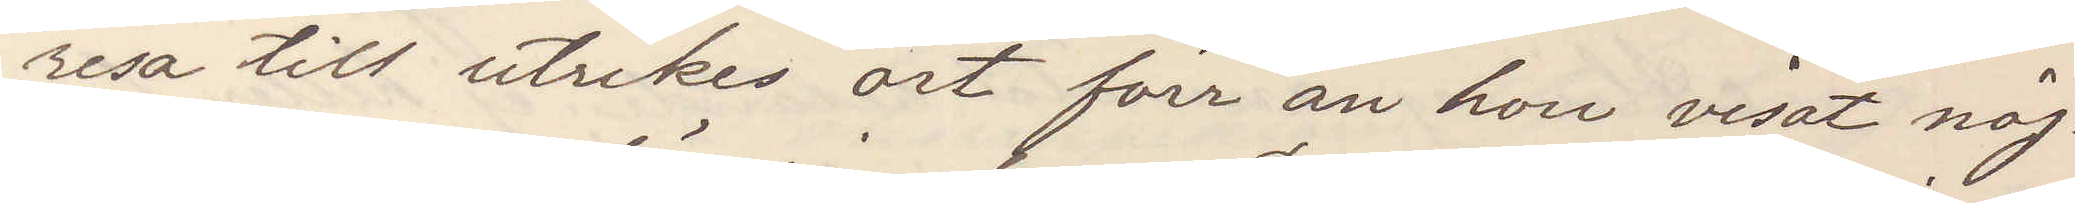resa till utrikes ort förr än hon visat nöj¬
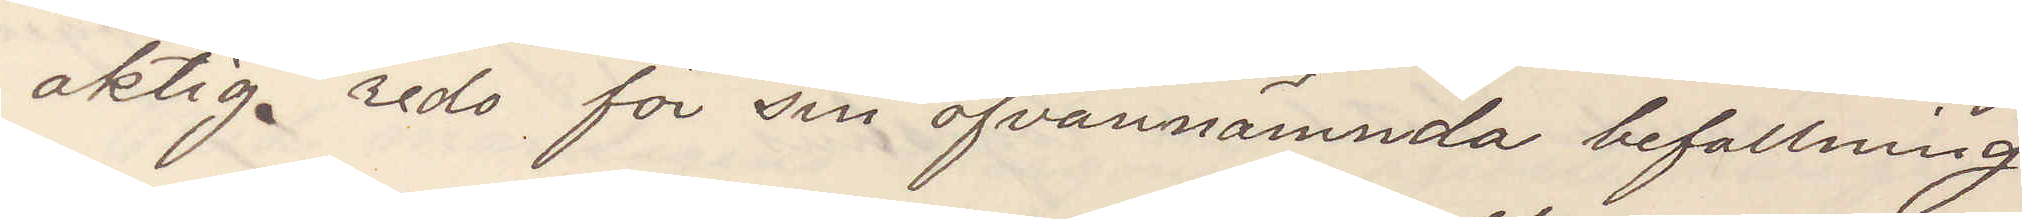aktigt redo för sin ofvannämnda befallning
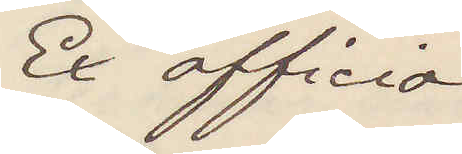Ex officio
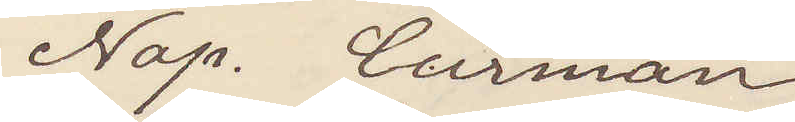Nap. Curman
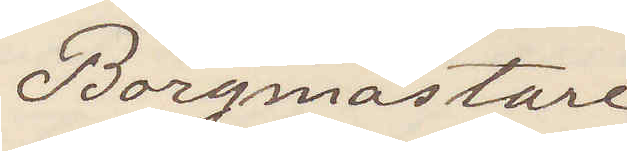Borgmästare
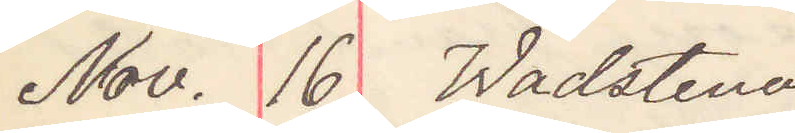Nov. 16 Wadstena
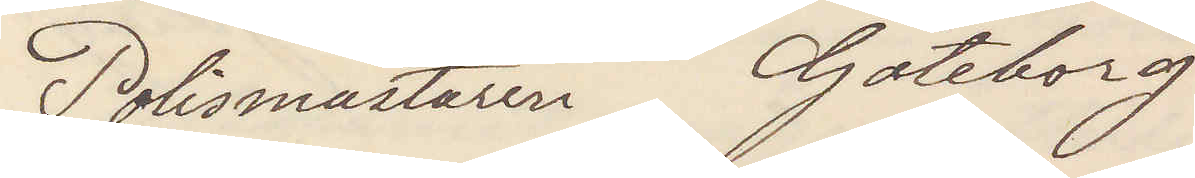Polismästaren Göteborg
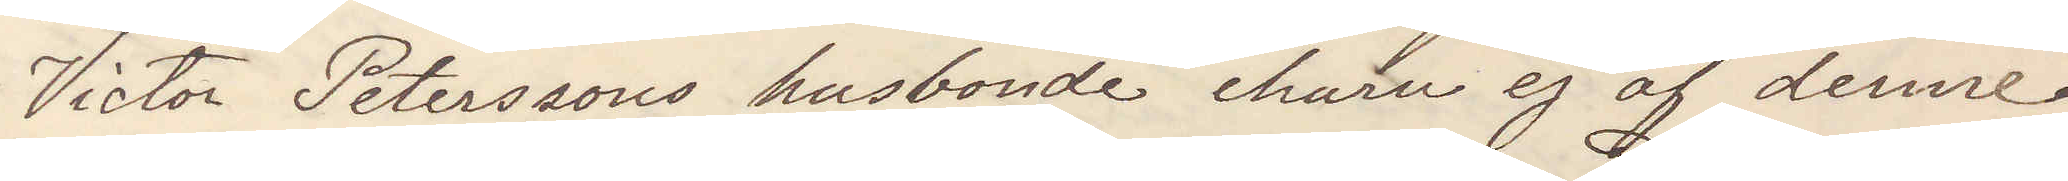Victor Peterssons husbonde ehuru ej af denne
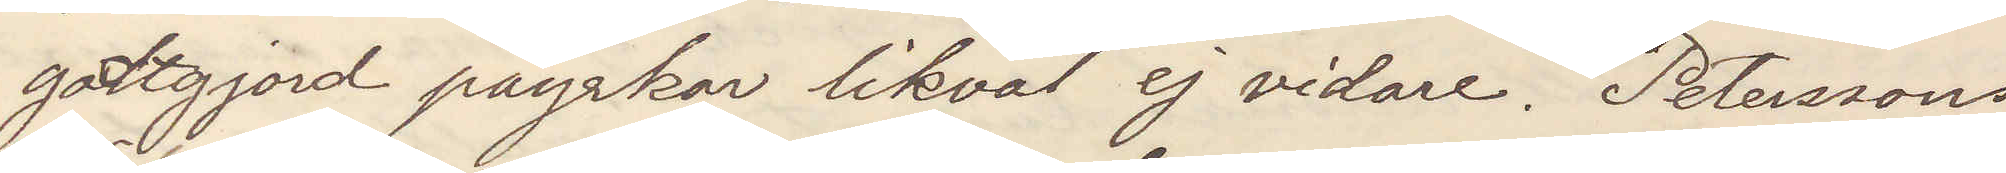godtgjord påyrkar likväl ej vidare. Peterssons
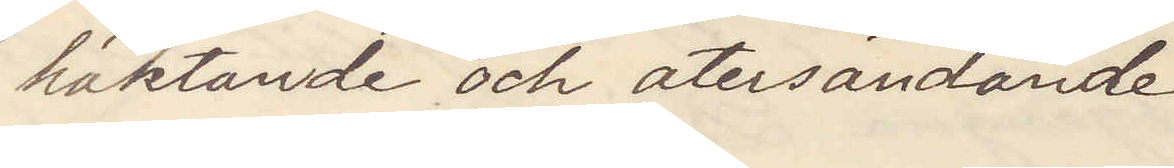häktande och återsändande
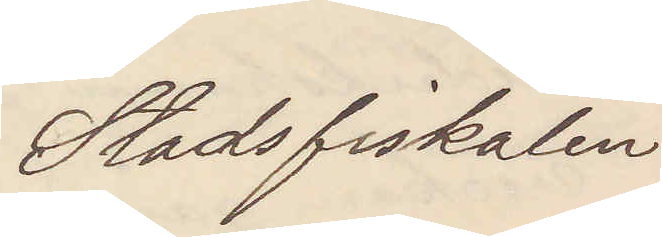Stadsfiskalen
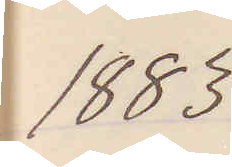1883.
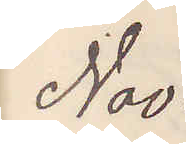Nov.
